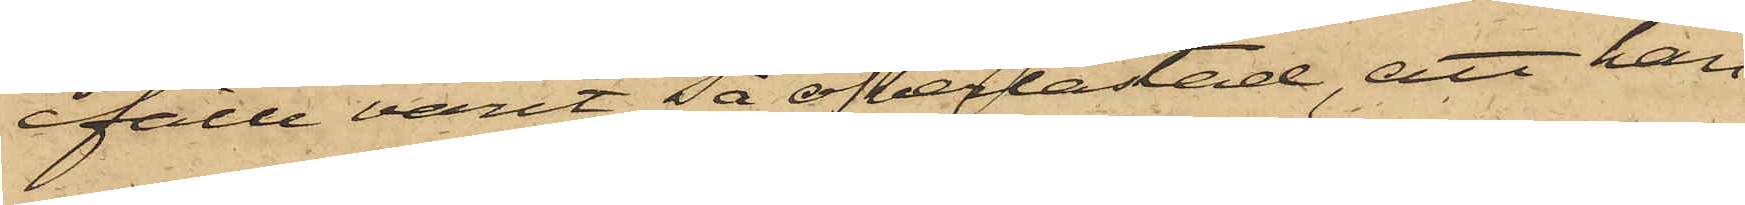fälle varit så öfverlastad, att han
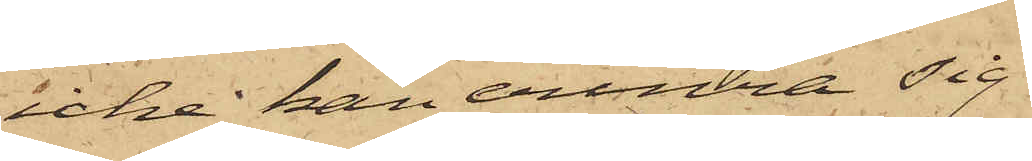icke kan erinra sig
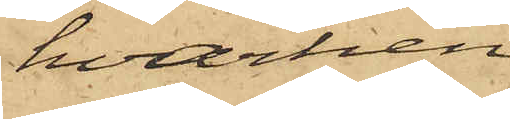hvarken
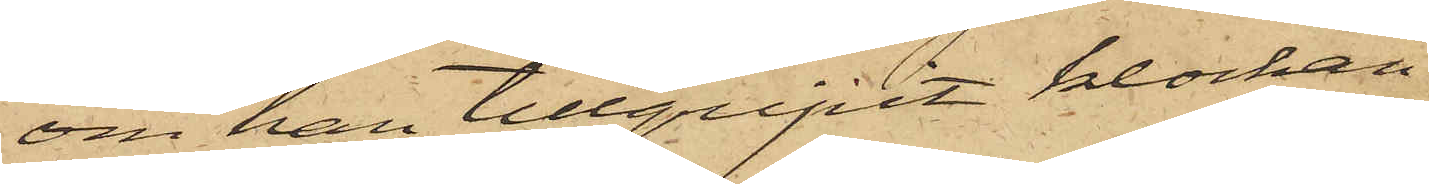om han tillgripit klockan
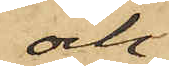och
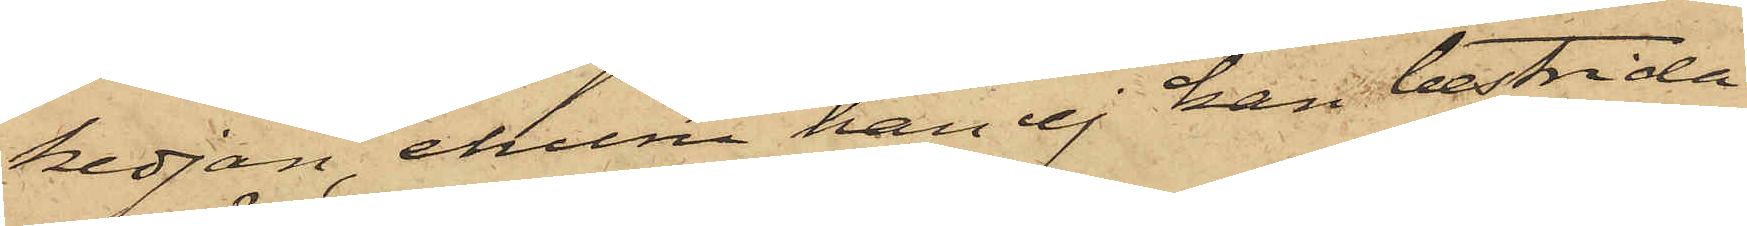kedjan, ehuru han ej han bestrida
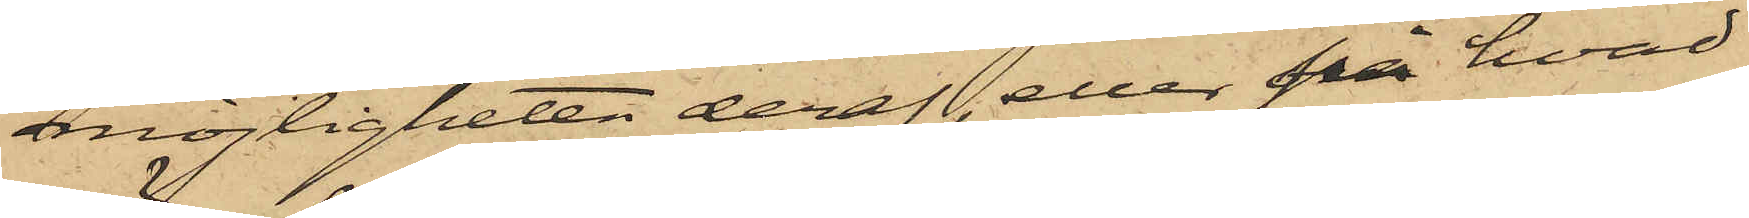möjligheten deraf, eller på hvad
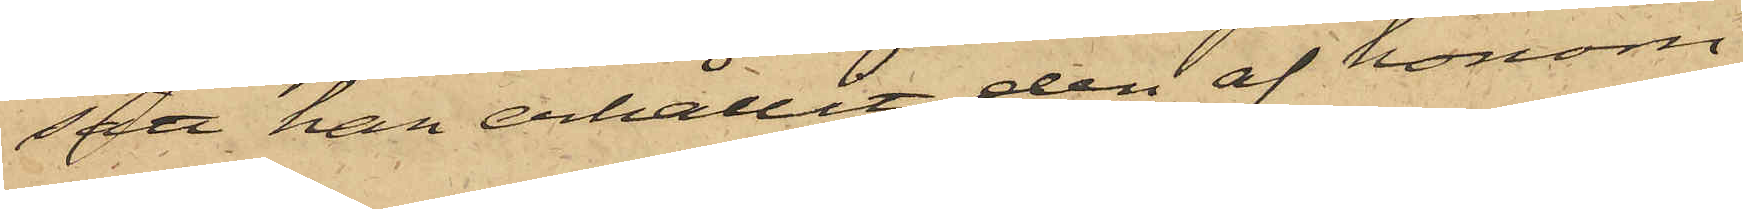sätt han erhållit den af honom
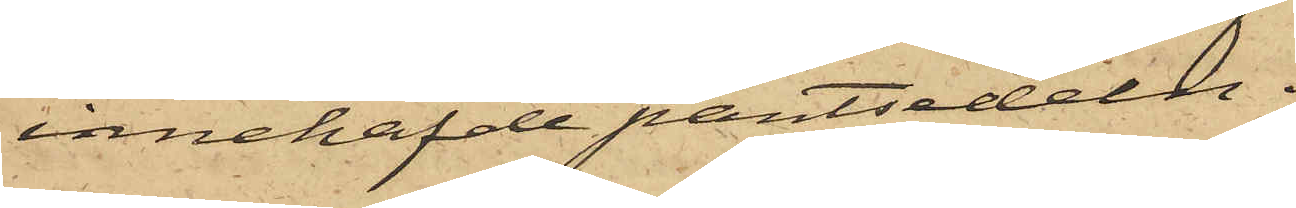innehafde pantsedeln.
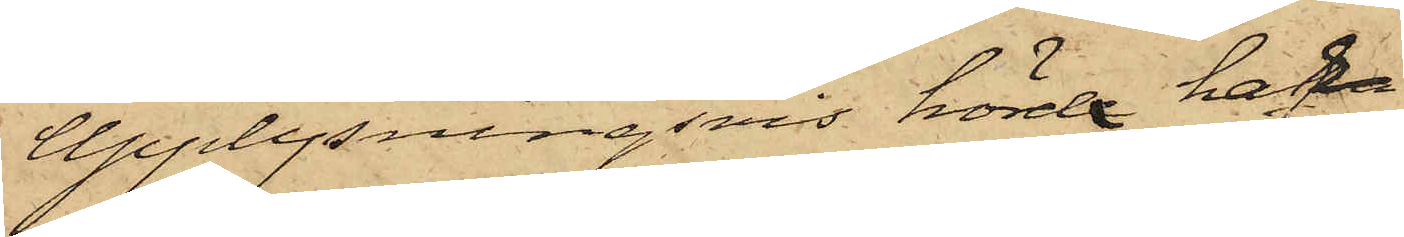Upplysningsvis hörde hafva
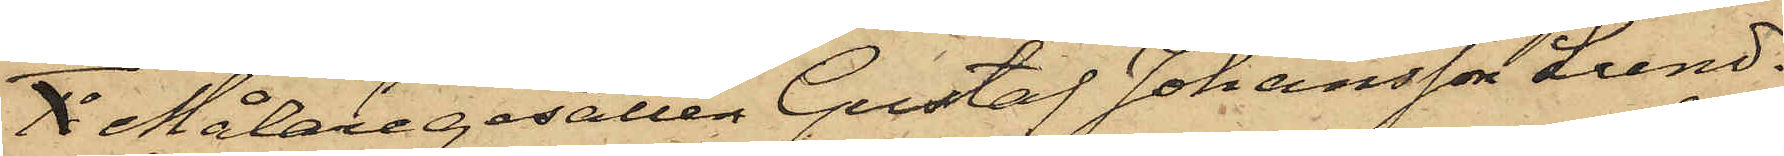Målaregesällen Gustaf Johansson Lund¬
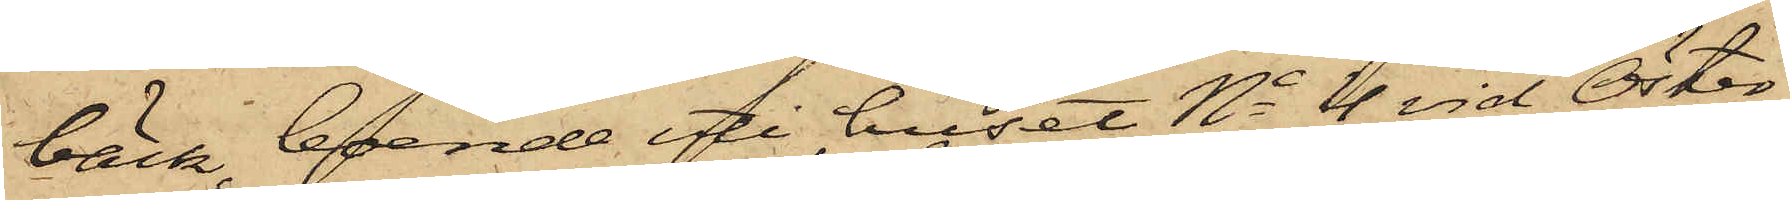bäck, boende uti huset No 4 vid Öster¬
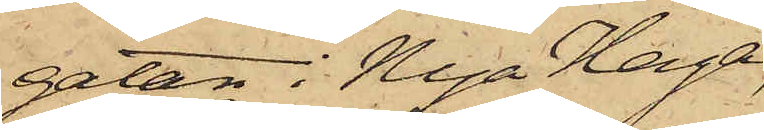gatan i Nya Haga,
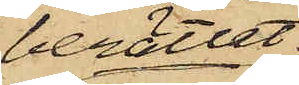berättat:
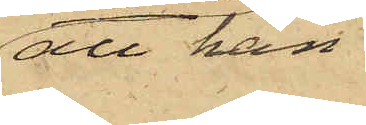att han
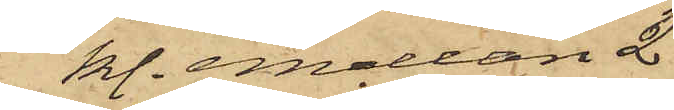kl. emellan 2
